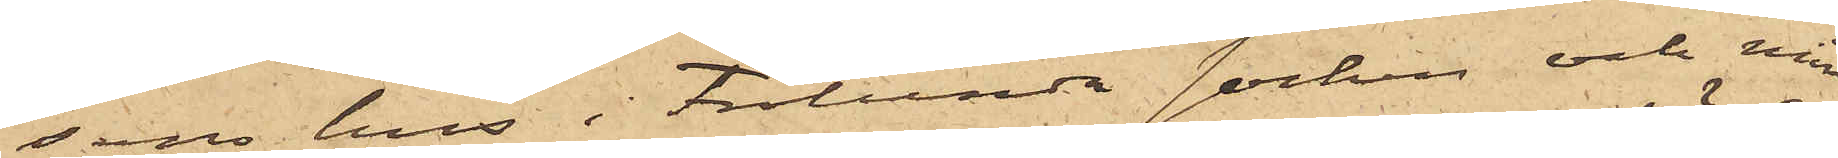sons hus i Frölunda socken och min¬
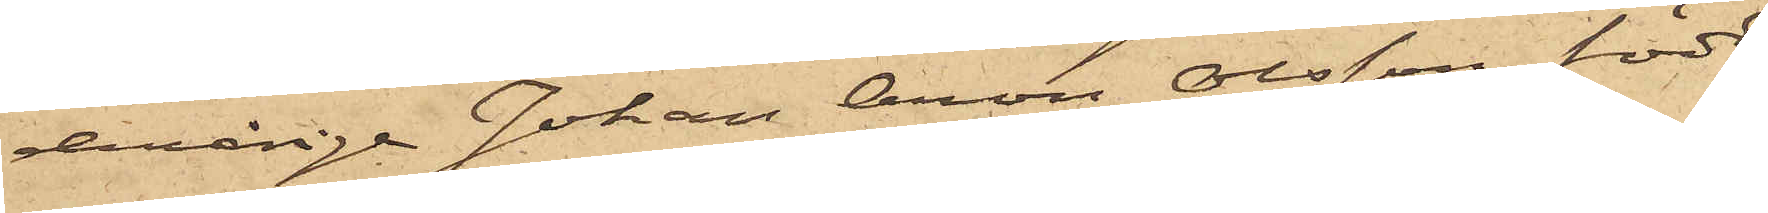derårige Johan Aron Olsson, född
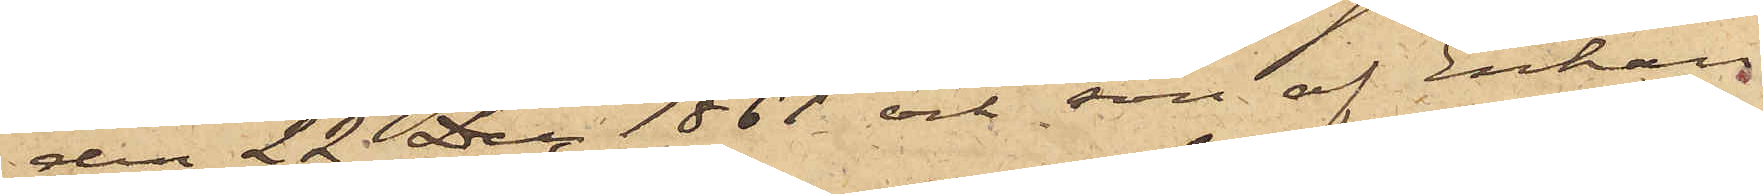den 22 Dec. 1861 och son af Enkan
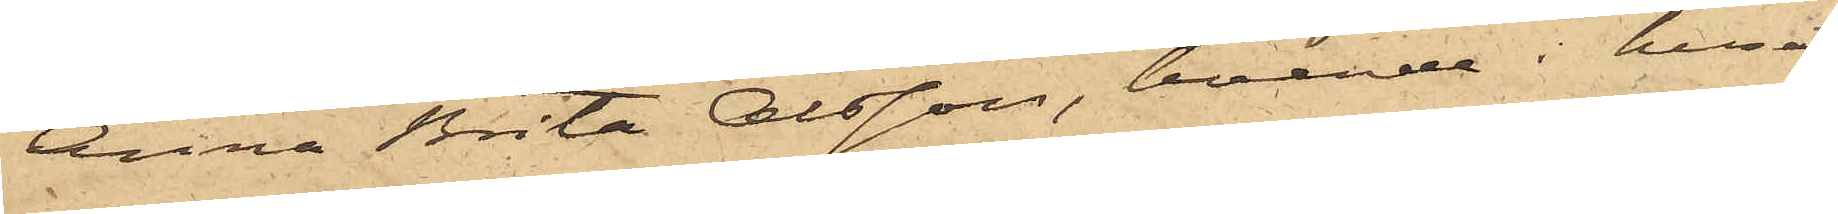Anna Brita Olsson, boende i huset
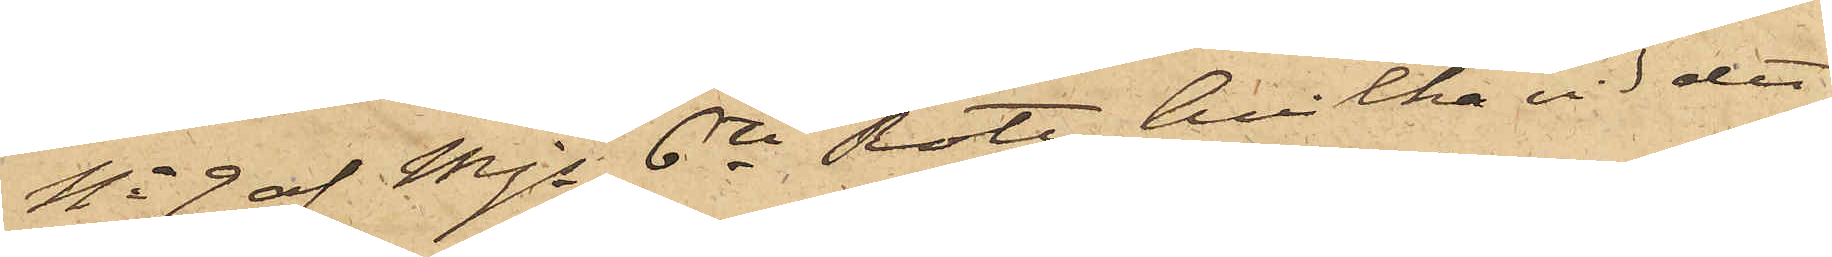No 9 af Mjs 6te Rote, hvilka vid det
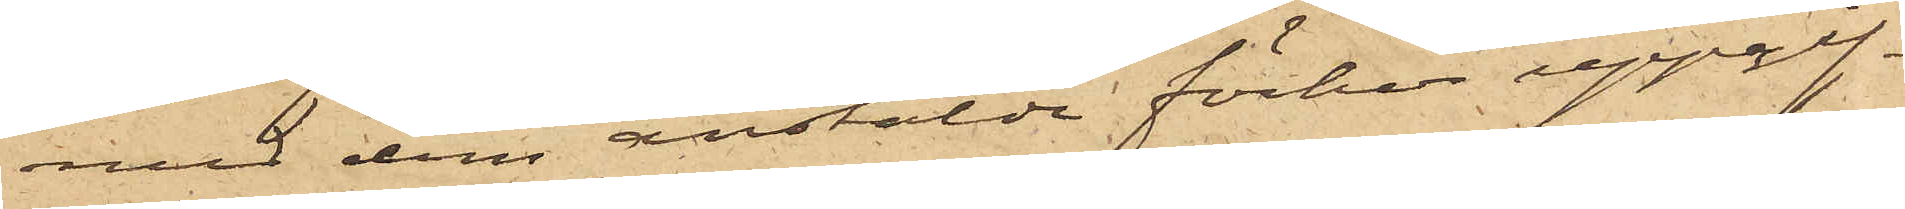med dem anstälde förhör uppgif¬
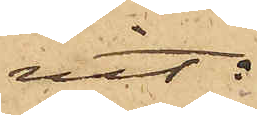vit:
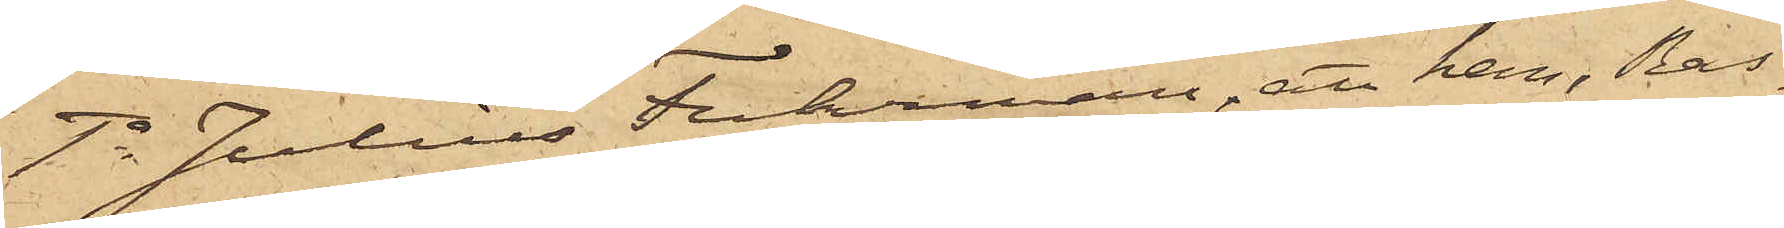1o Julius Fuhrman, att han, Ras¬
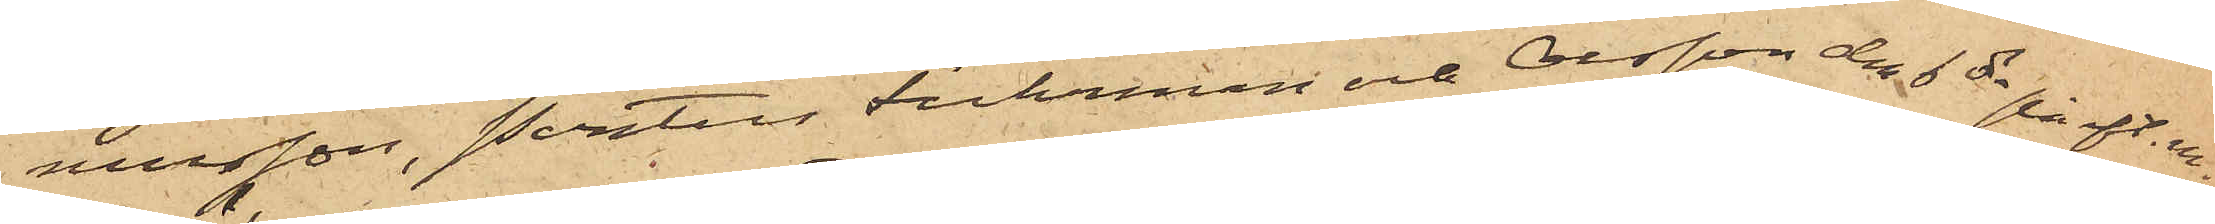musson, Pontus Fuhrman och Olsson den 6 ds på eft. m.
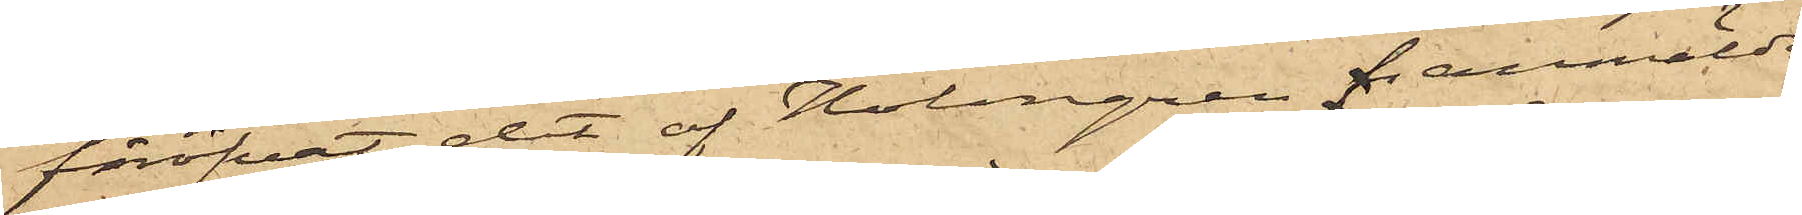föröfvat det af Holmgren i anmälde
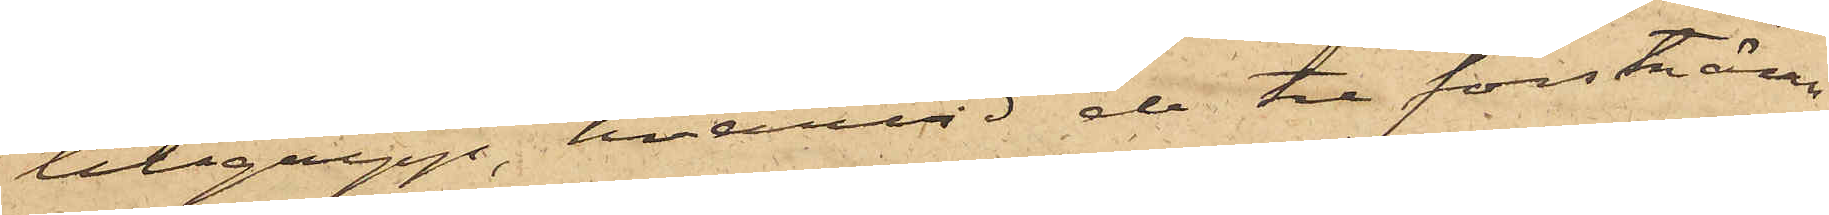tillgrepp, hvarvid de tre förstnämn¬
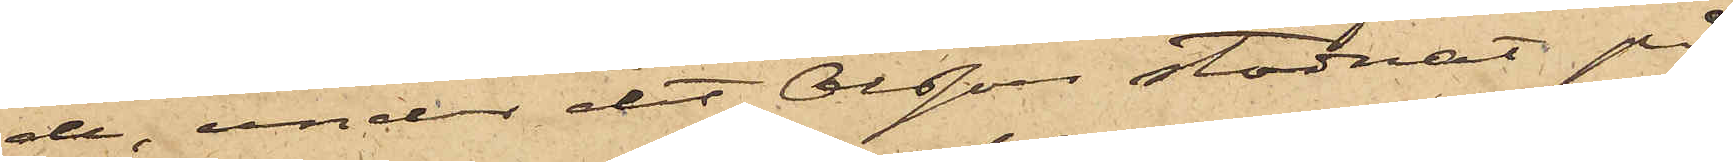de, under det Olsson stadnat på
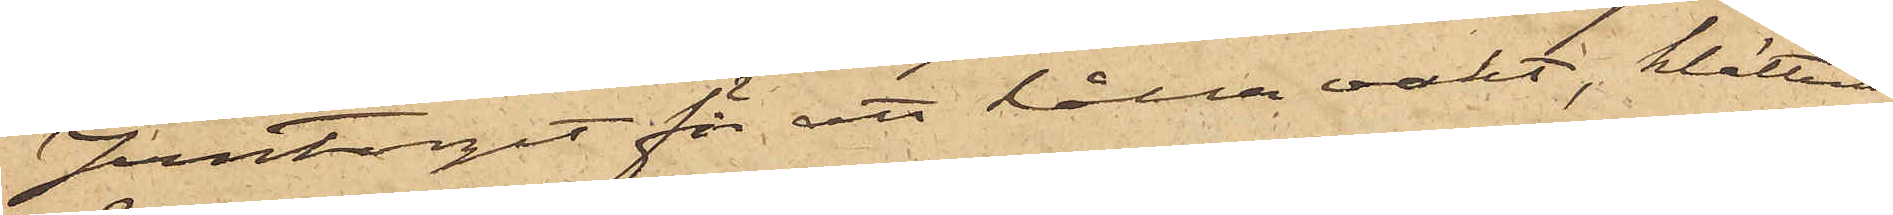Jerntorget för att hålla vakt, klättrat
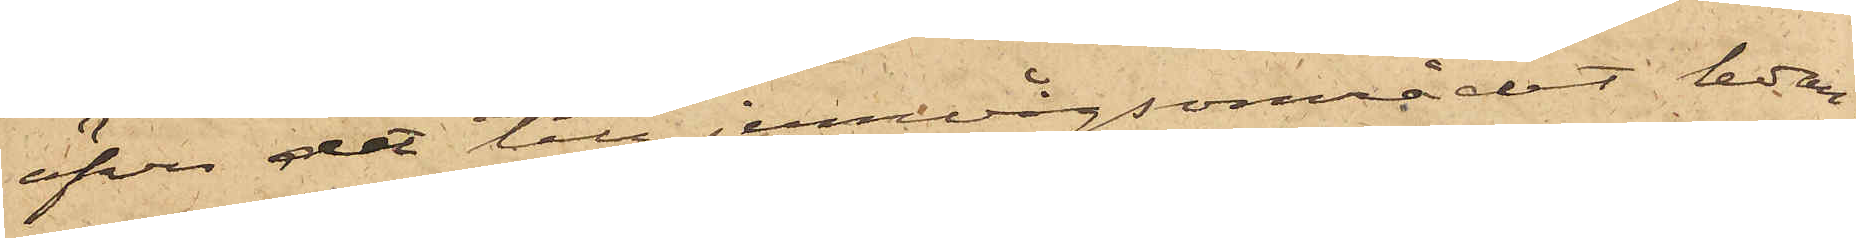öfver det till jernvågsområdet ledan¬
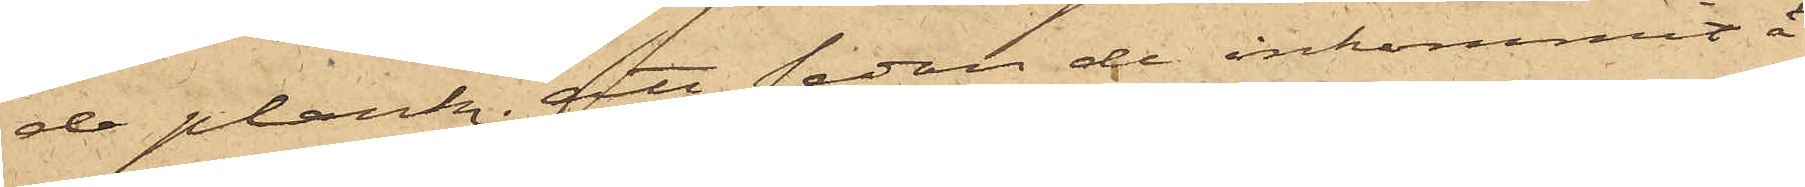de plank; att sedan de inkommit å
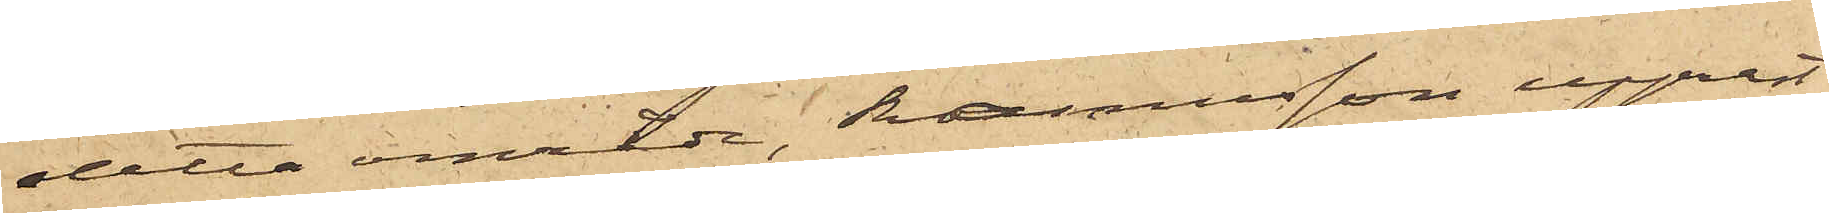detta område, Rasmusson upprest
